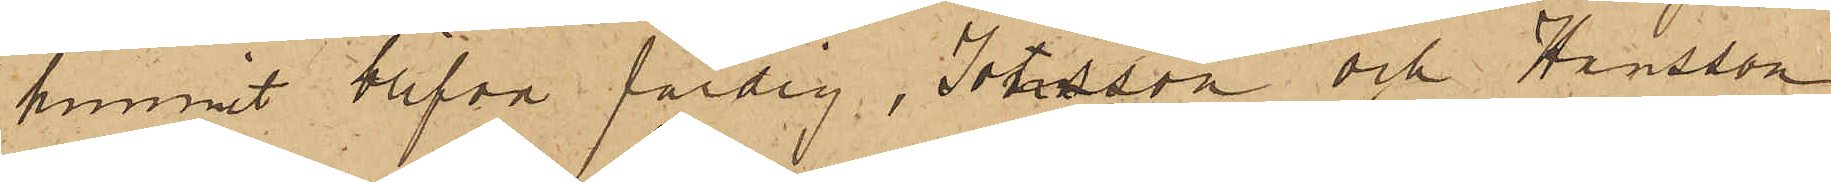hunnit blifva färdig, Jonsson och Hansson
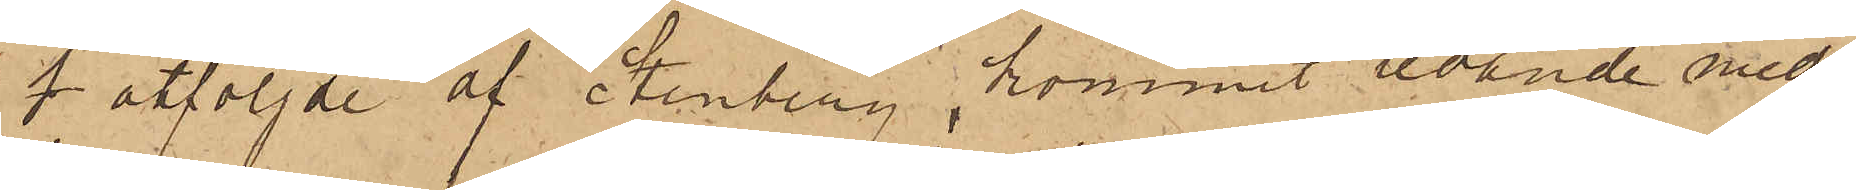f åtföljde af Stenberg, kommit ledande med
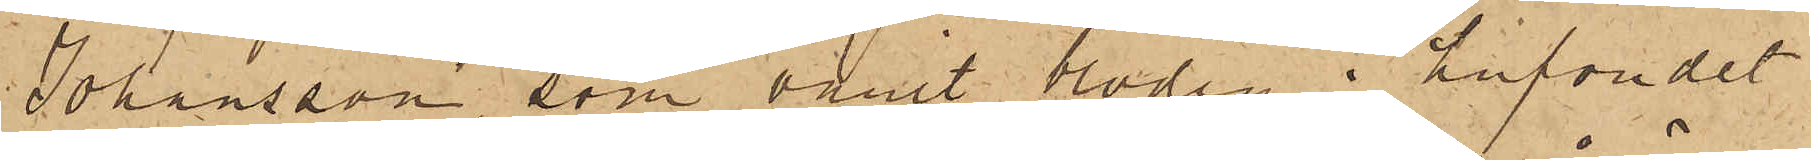Johansson, som varit blodig i hufvudet
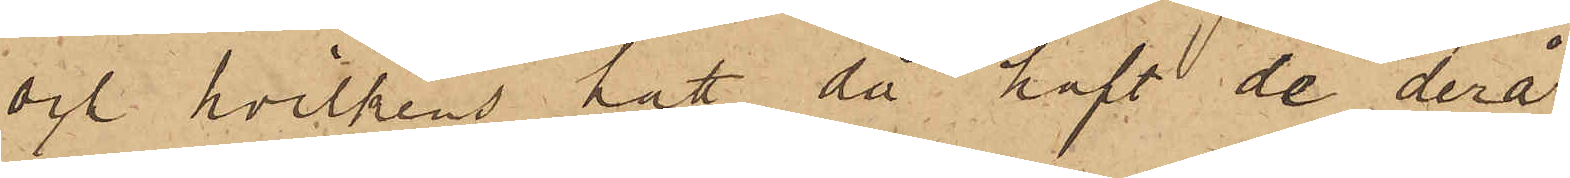och hvilkens hatt då haft de derå
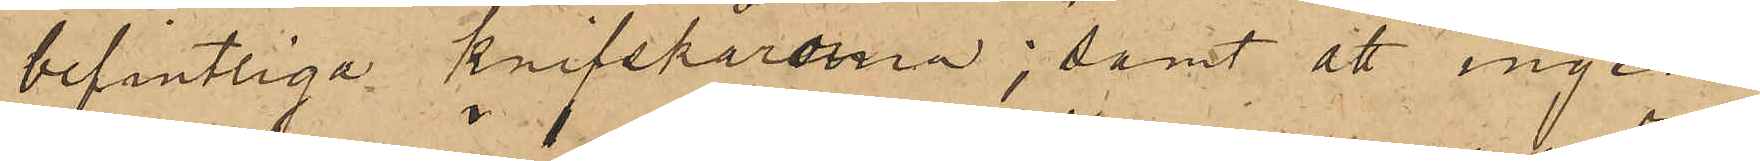befintliga knifskårorna; samt att ingen
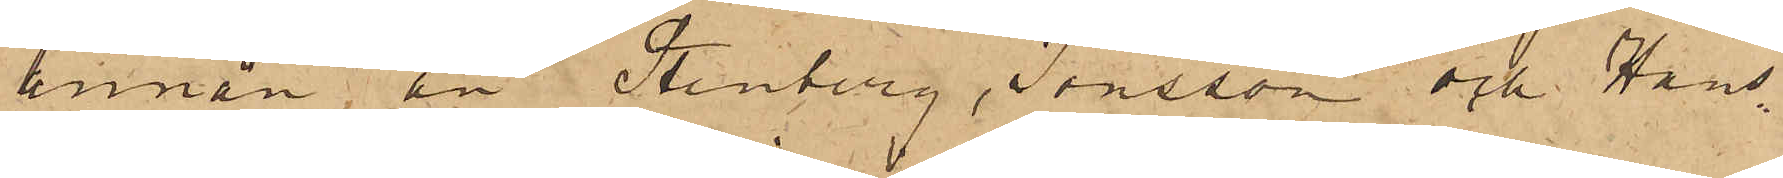annan än Stenberg, Jonsson och Hans¬
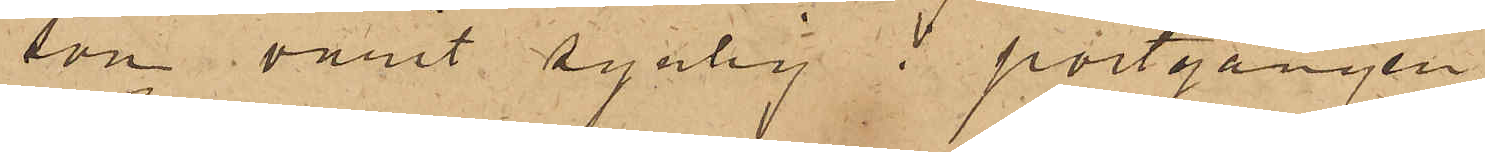son varit synlig i portgången.
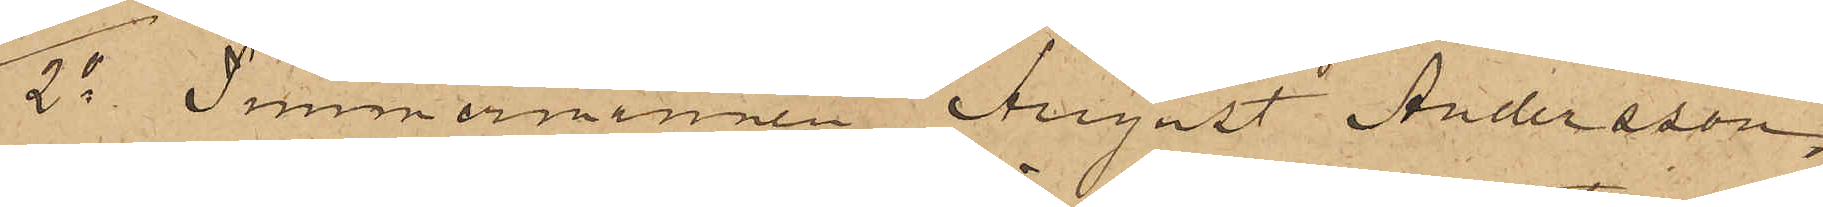2o Timmermannen August Andersson,
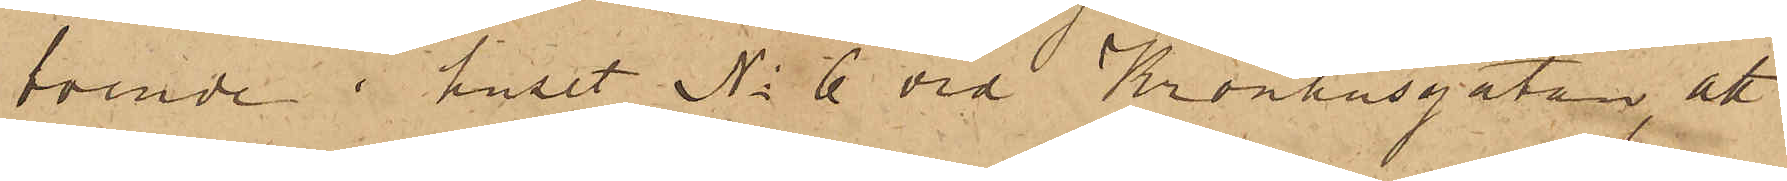boende i huset No 6 vid Kronhusgatan, att
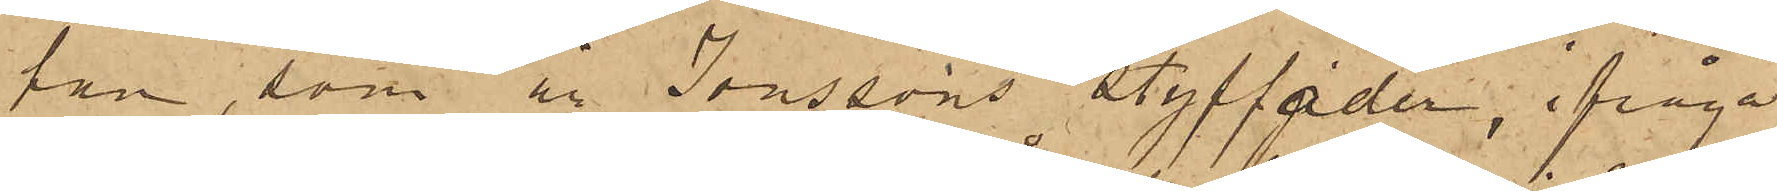han, som är Jonssons styffader, ifråga¬
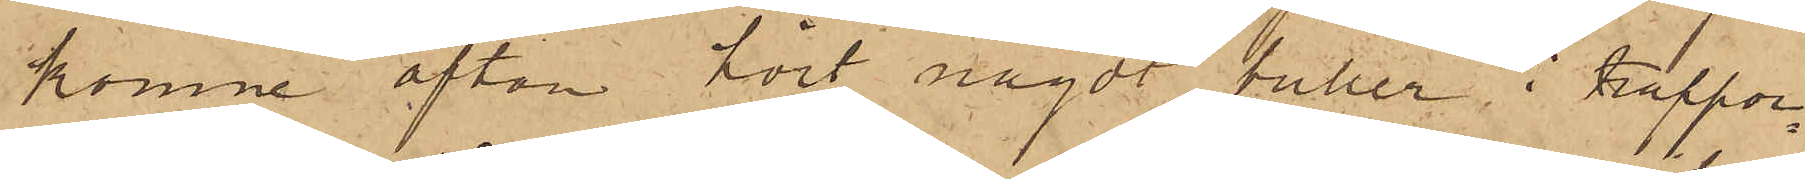komne afton hört något buller i trappor¬
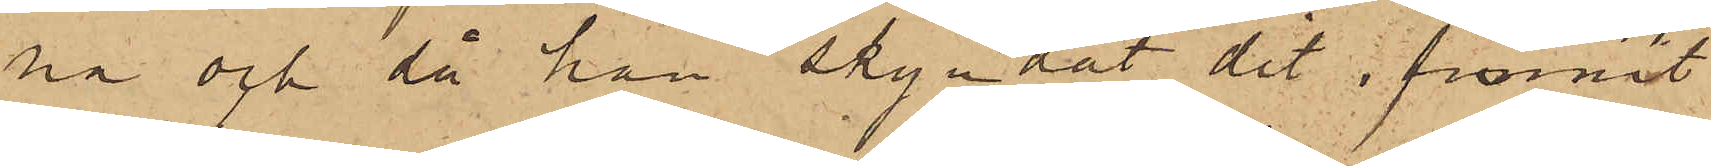na och då han skyndat dit, funnit
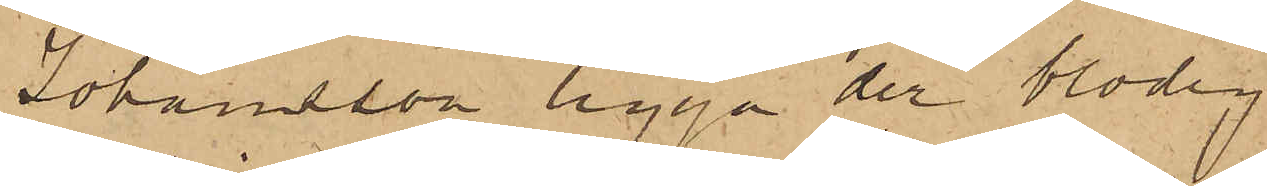Johansson ligga der blodig
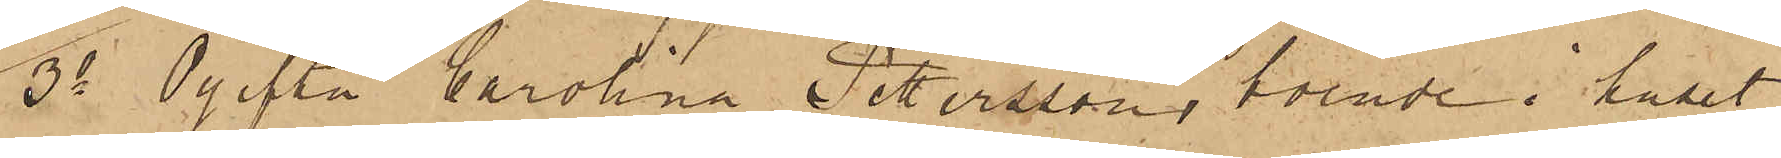3o Ogifta Carolina Petersson, boende i huset
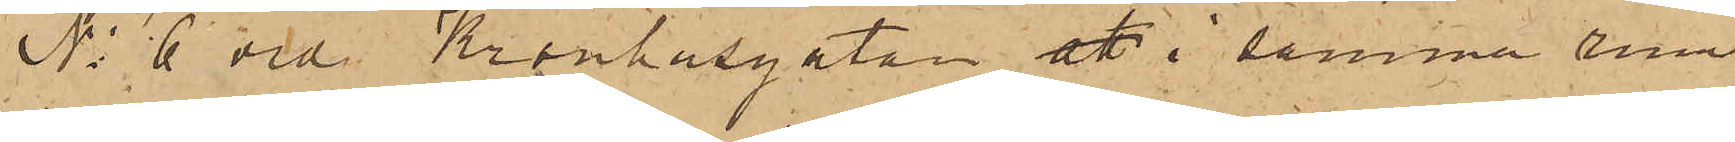No 6 vid Kronhusgatan att i samma rum
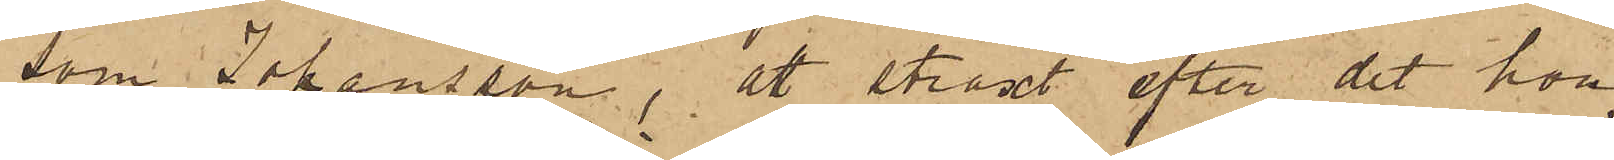som Johansson, att straxt efter det hon
